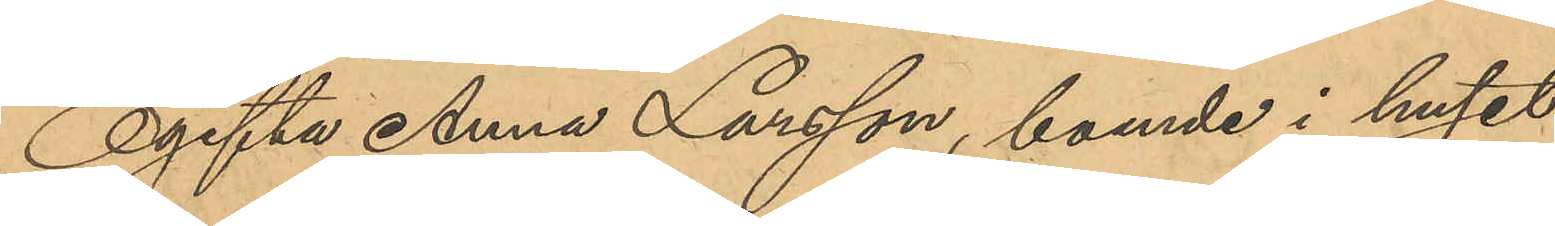Ogifta Anna Larsson, boende i huset
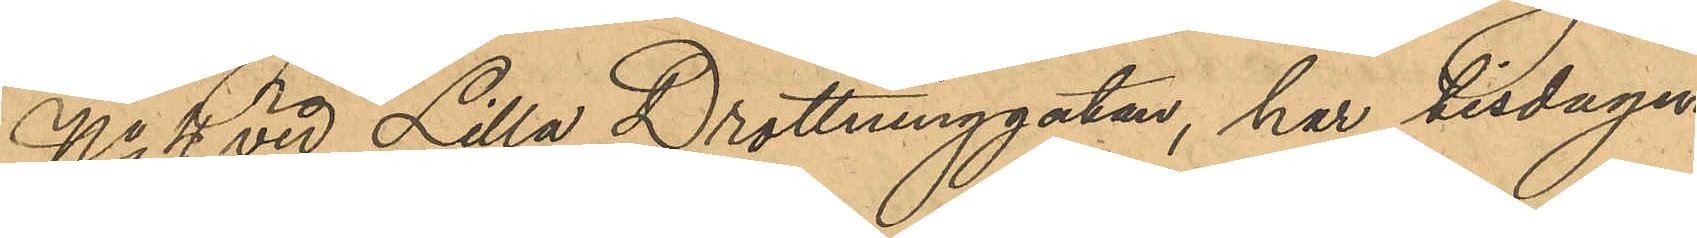No 4 vid Lilla Drottninggatan, har tisdagen
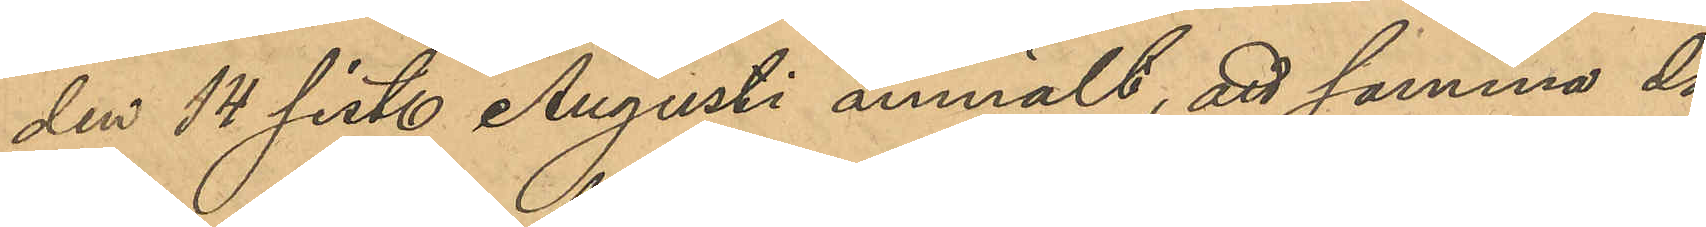den 14 sist. Augusti anmält, att samma dag
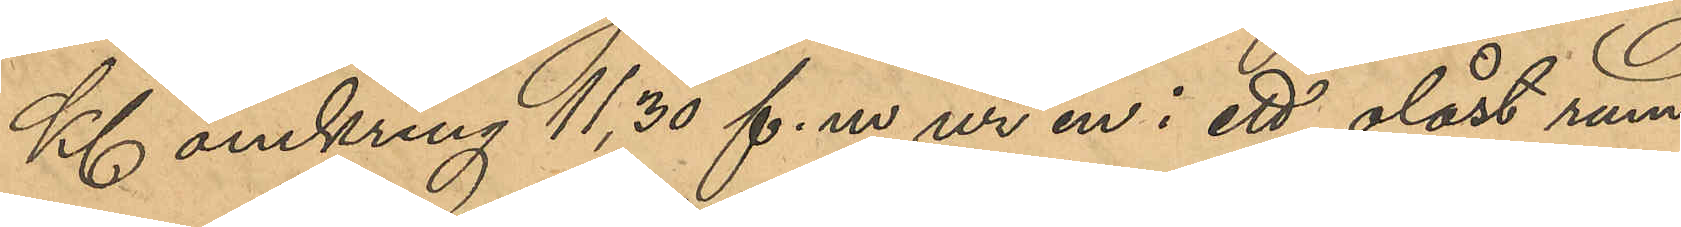Kl omkring 11,30 f. m. ur en i ett olåst rum
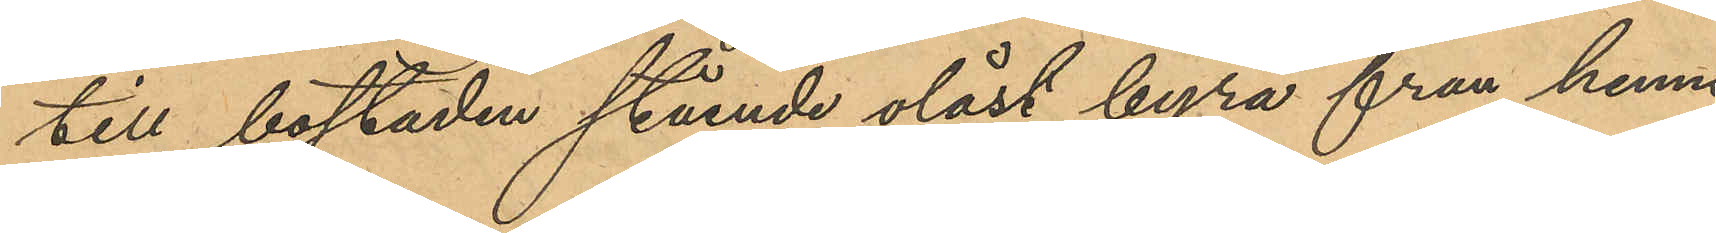till bostaden stående olåst byrå fran henne
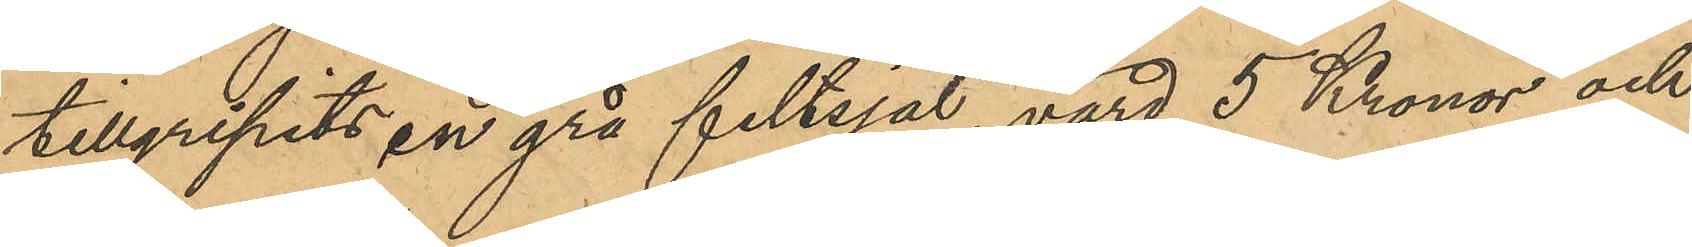tillgripits en grå filtsjal, värd 5 Kronor, och
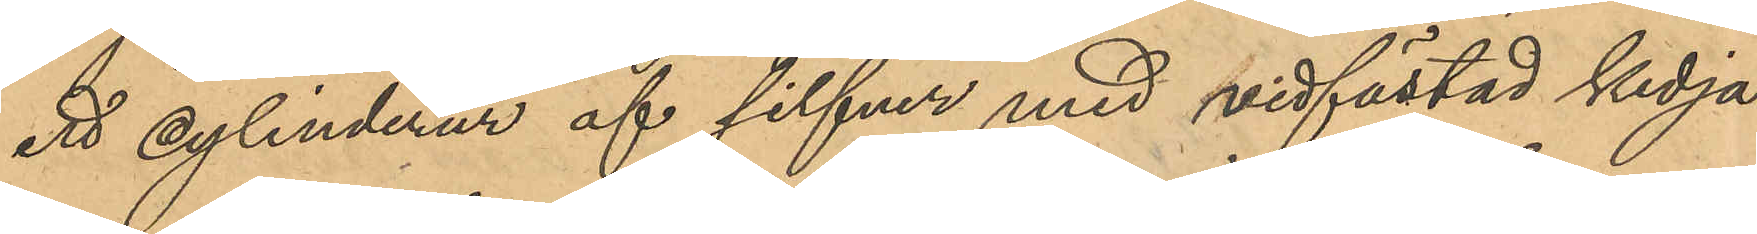ett cylinderur af silfver med vidfästad kedja 
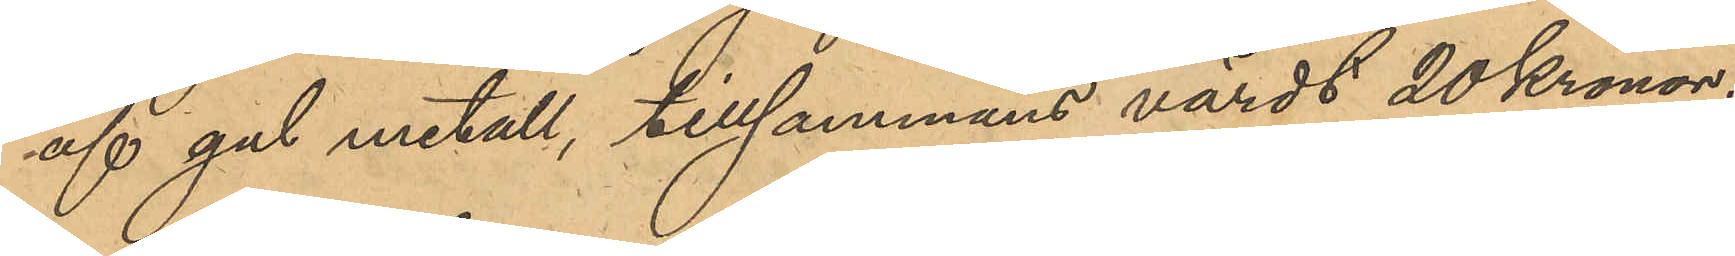af gul metall, tillsammans värdt 20 Kronor.
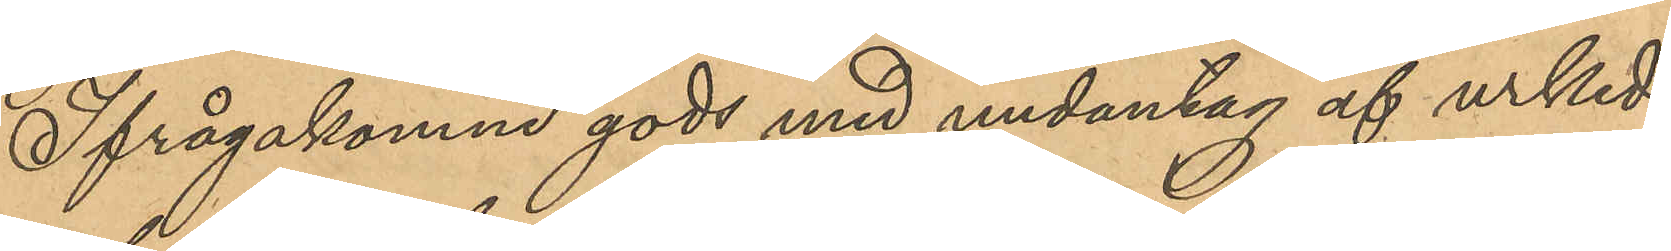Ifrågakomne gods med undantag af urked¬
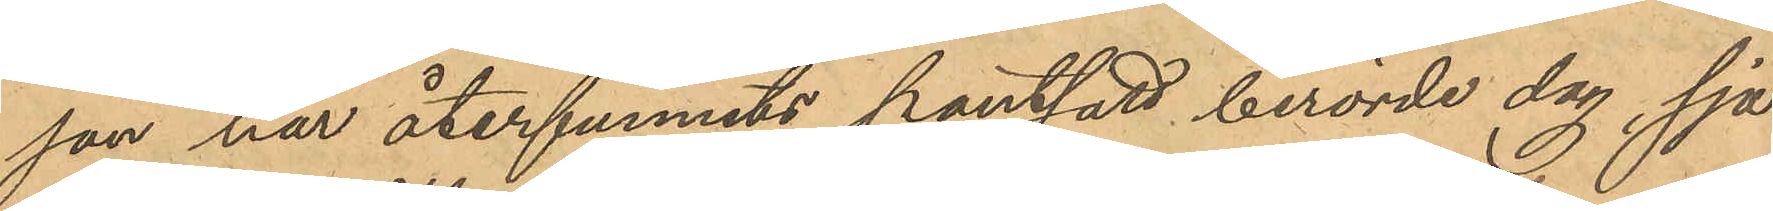jan har återfunnits pantsatt berörde dag, sja¬
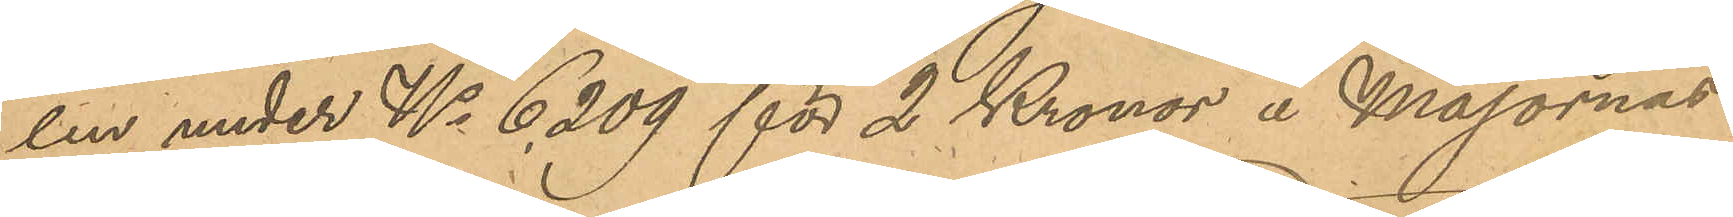len under No 6,209 för två kronor å Majornas
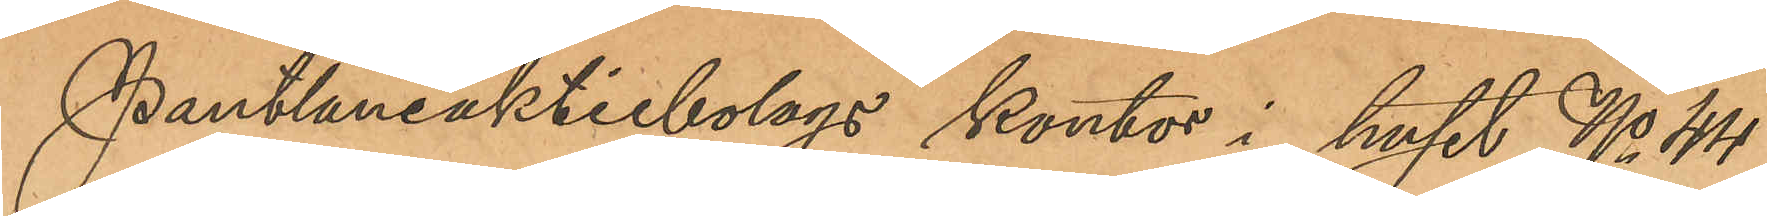Pantlåneaktiebolags kontor i huset No 44
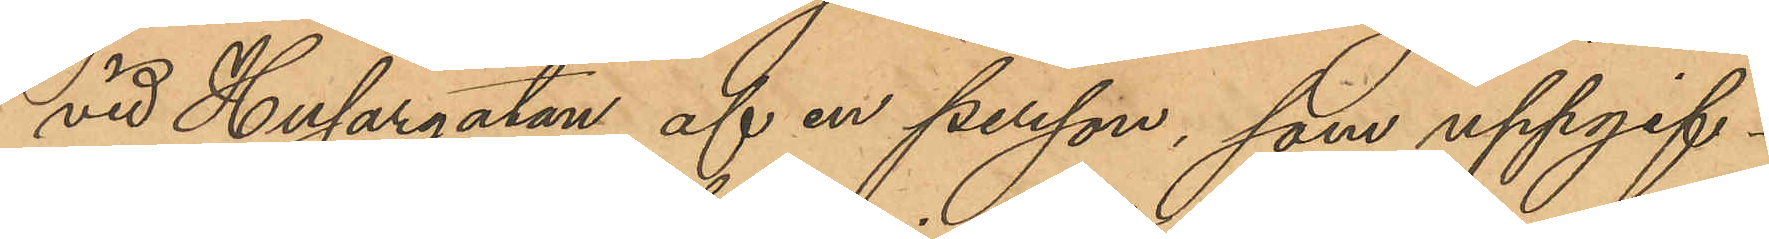vid Husargatan af en person, som uppgif¬
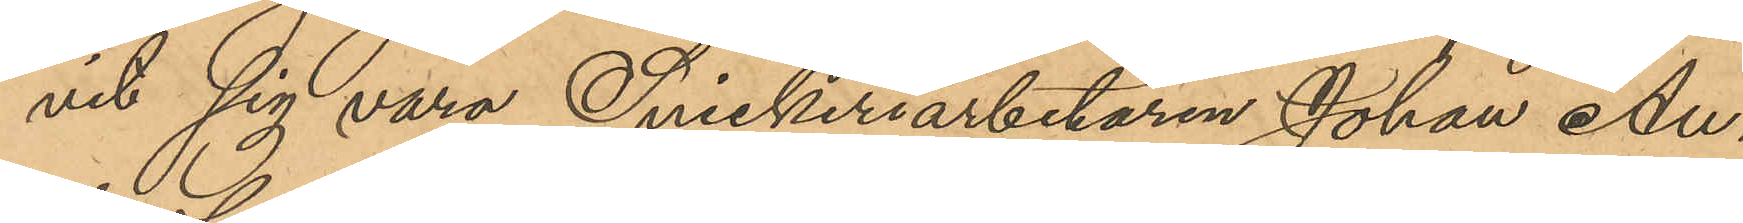vit sig vara Snickeriarbetaren Johan An¬
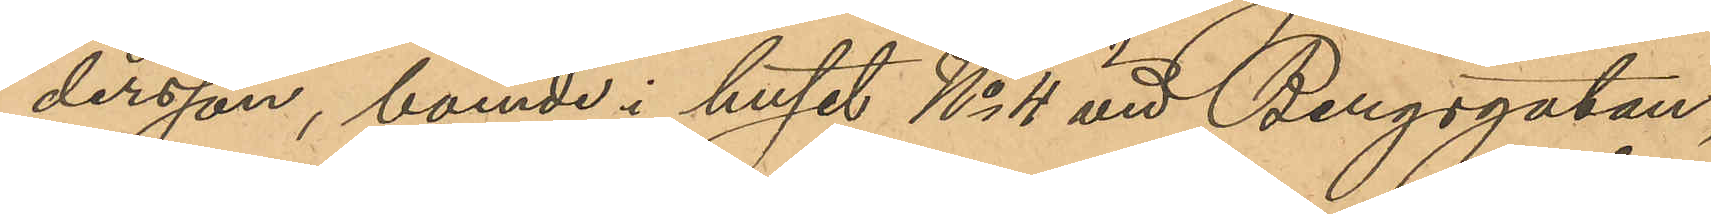dersson, boende i huset No 4 vid Bergsgatan,
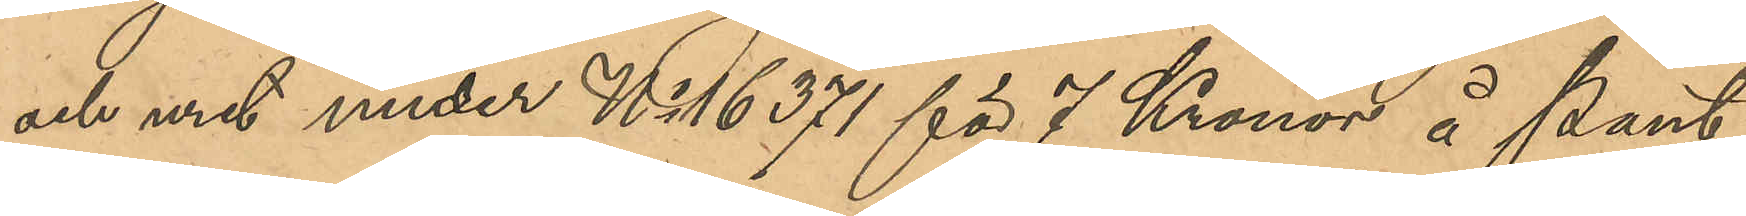och uret under No 16371 för 7 Kronor å Pant¬
